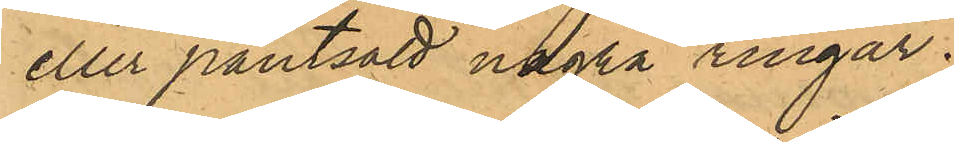eller pantsatt några ringar.
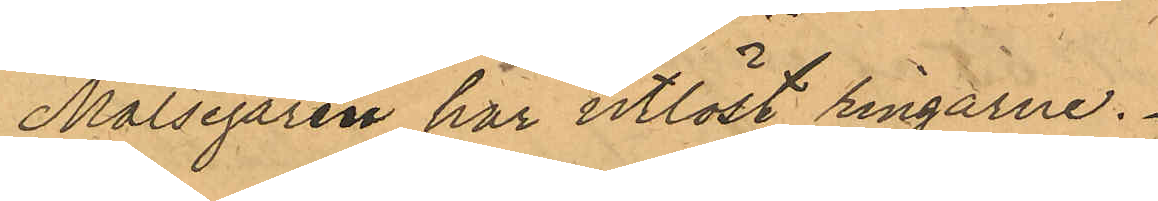Målsegaren har utlöst ringarne.
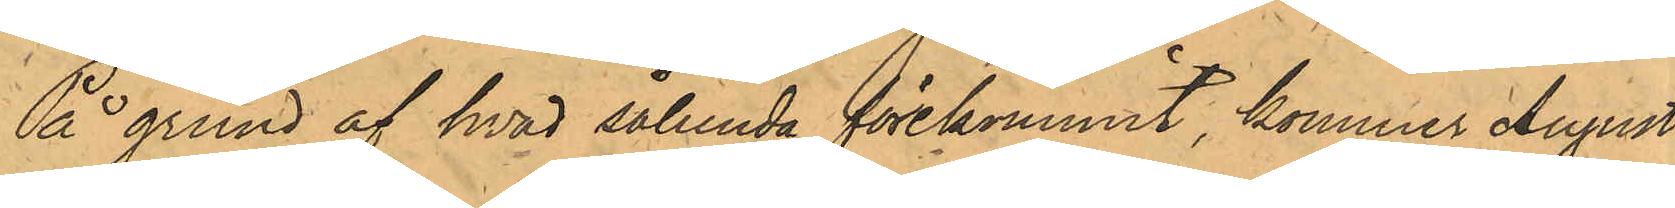På grund af hvad sålunda förekommit, kommer August
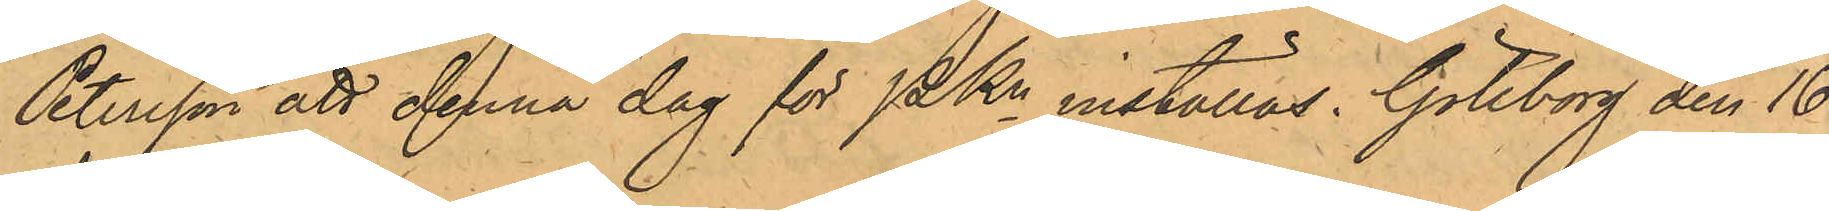Petersson att denna dag för PKn inställas. Göteborg den 16
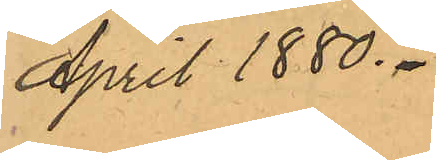April 1880.
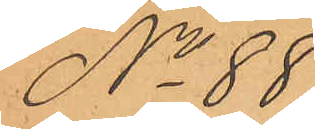No 88.
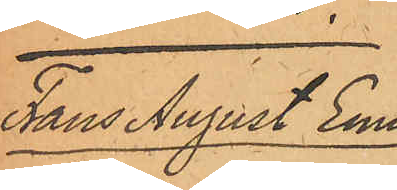Frans August Emil
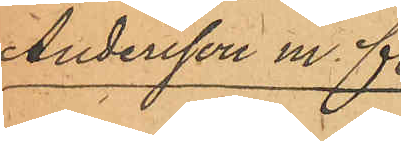Andersson m. fl.
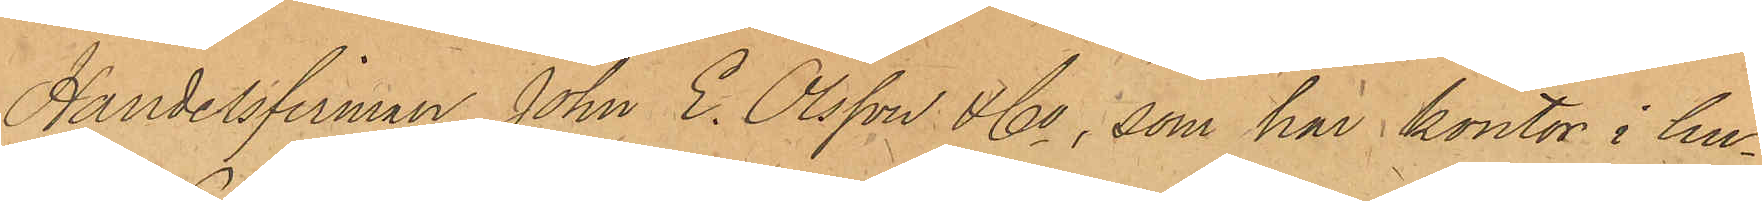Handelsfirma John E. Olsson & Co, som har kontor i hu¬
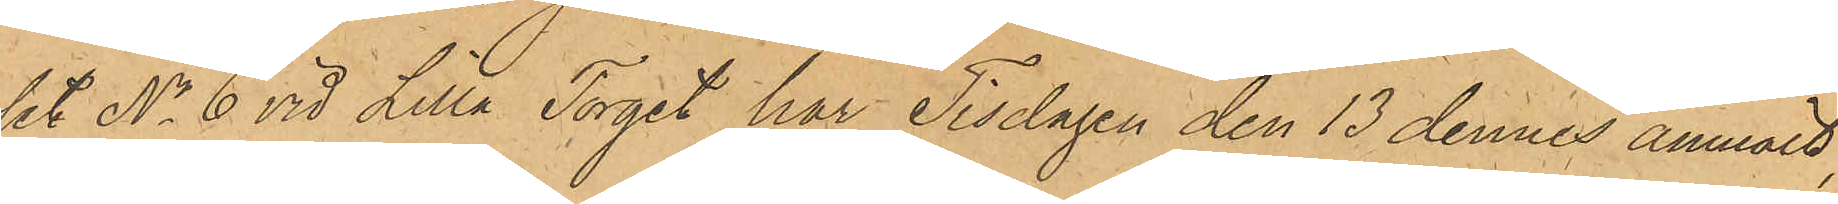set No 6 vid Lilla Torget har Tisdagen den 13 dennes anmält
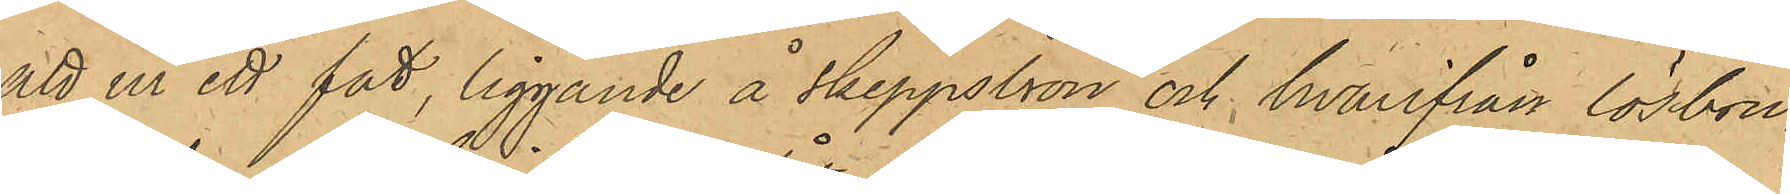att ur ett fat, liggande å Skeppsbron och hvarifrån lösbru¬
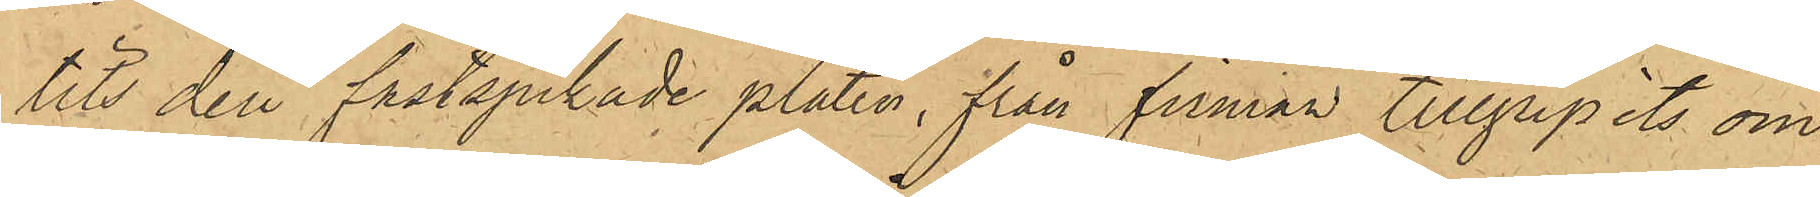tits den fastspikade plåten, från firman tillgripits om¬
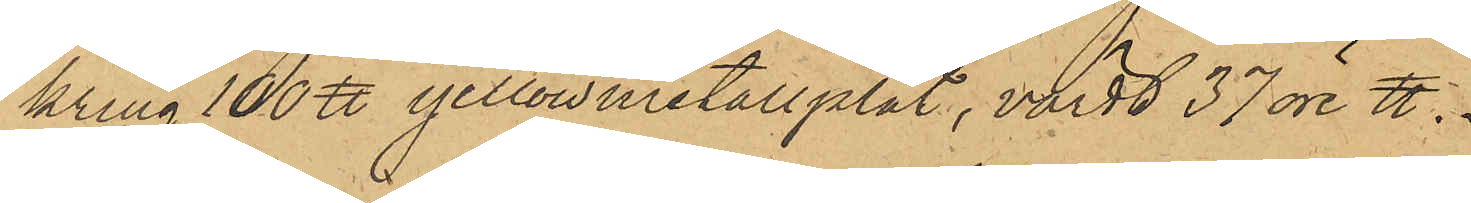kring 100 ℔ yellowmetallplåt, värdt 37 öre ℔.
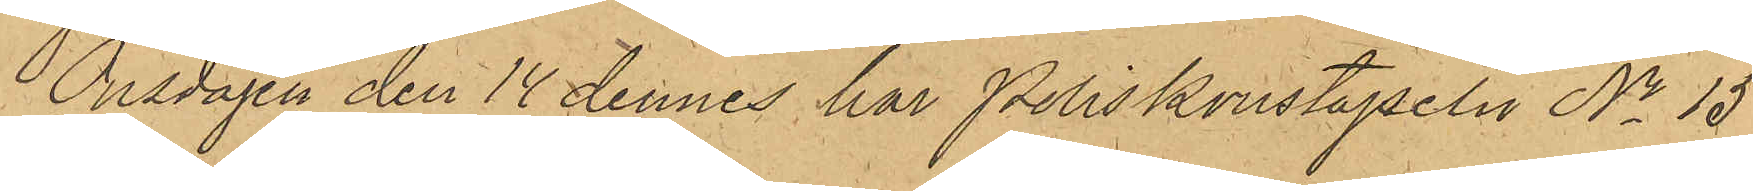Onsdagen de 14 dennes har Poliskonstapeln No 15
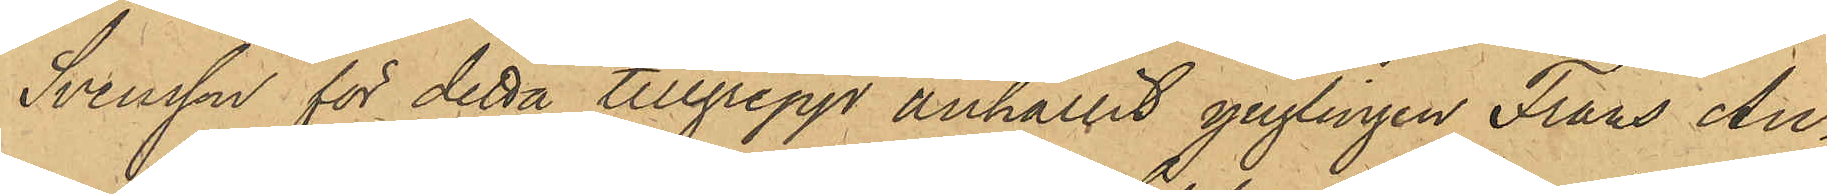Svensson för detta tillgrepp anhållit ynglingen Frans Au¬
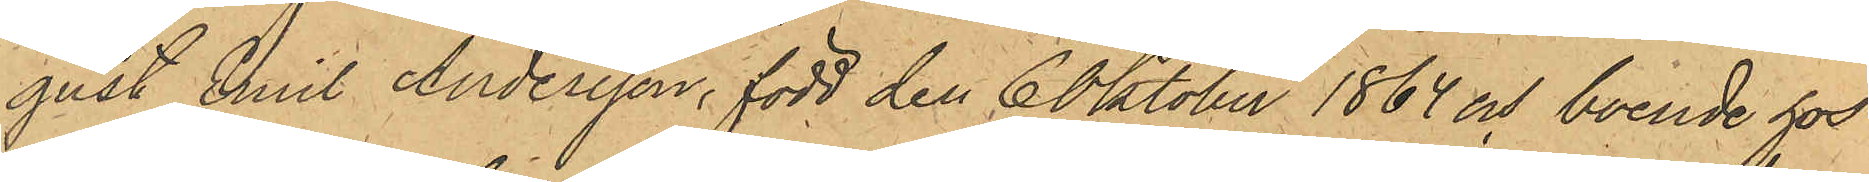gust Emil Andersson, född den 6 Oktober 1864 och boende hos
